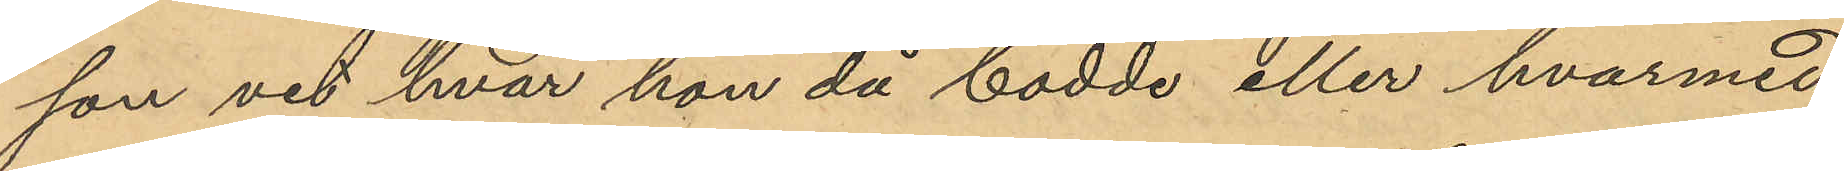son vet hvar hon då bodde eller hvarmed
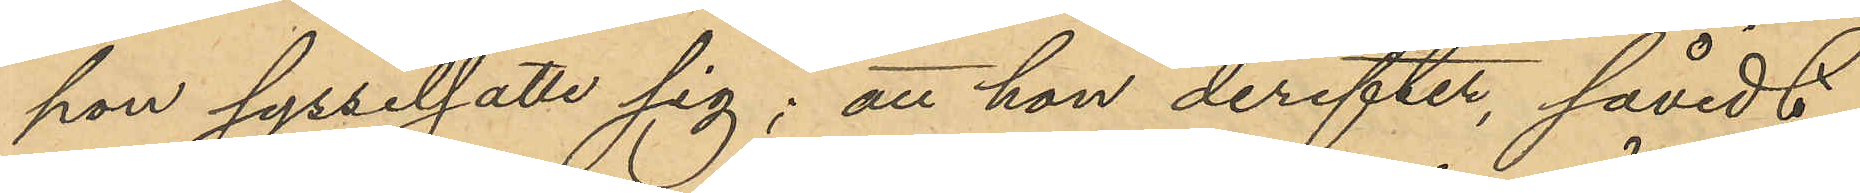hon sysselsatte sig; att hon derefter, såvidt
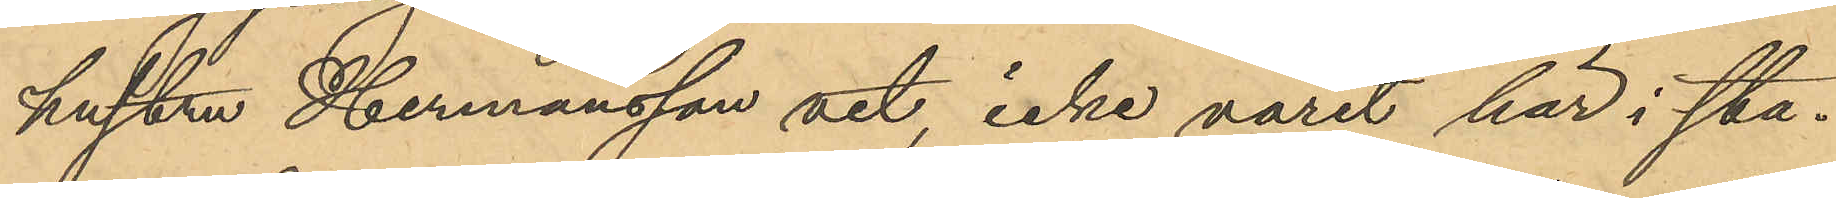hustru Hermansson vet, icke varit här i sta¬
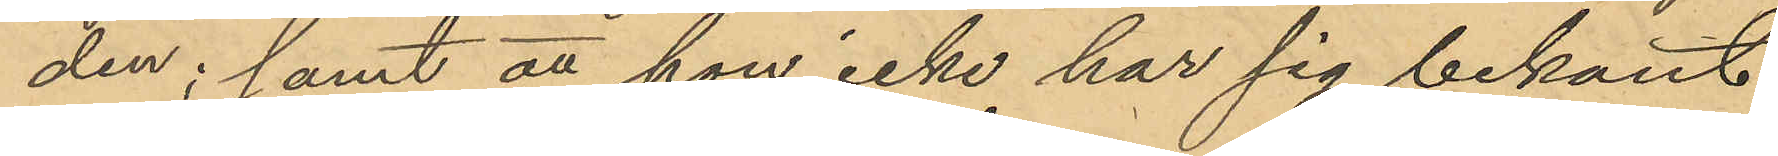den; samt att hon icke har sig bekant
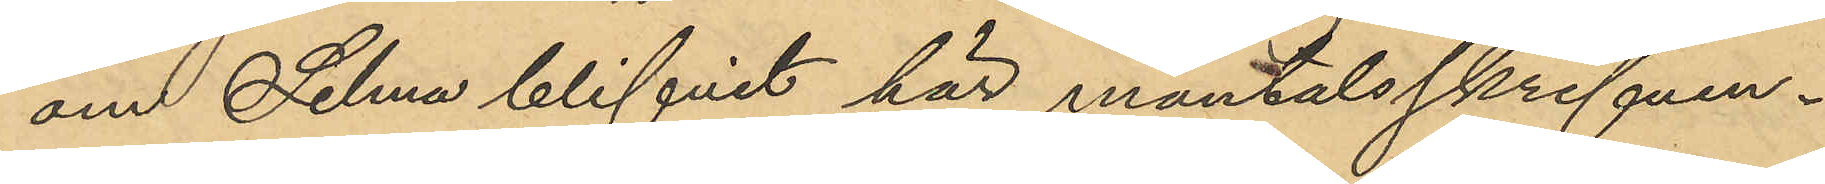om Selma blifvit här mantalsskrifven.
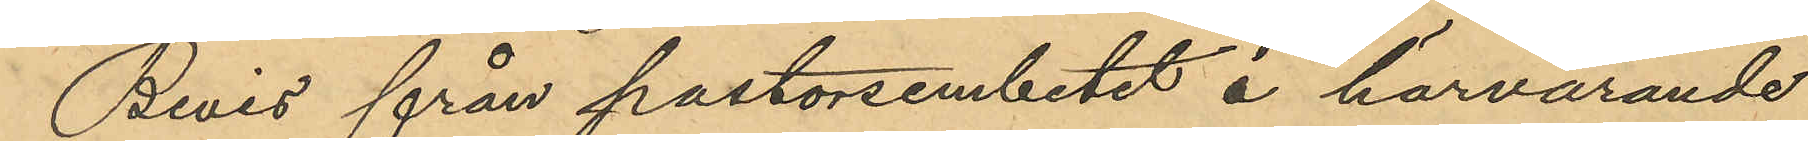Bevis från pastorsembetet å härvarande
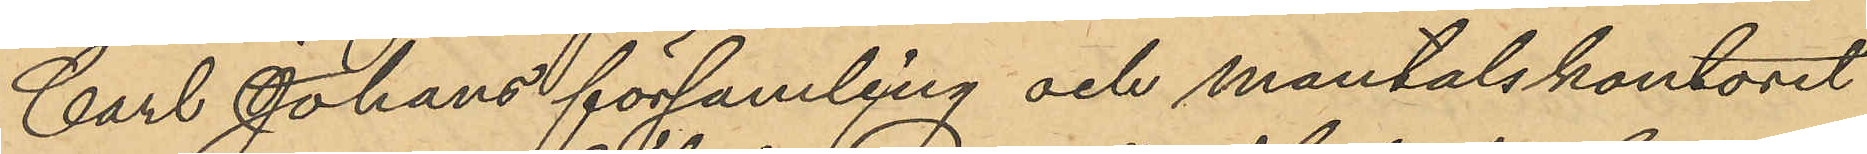Carl Johans församling och mantalskontoret
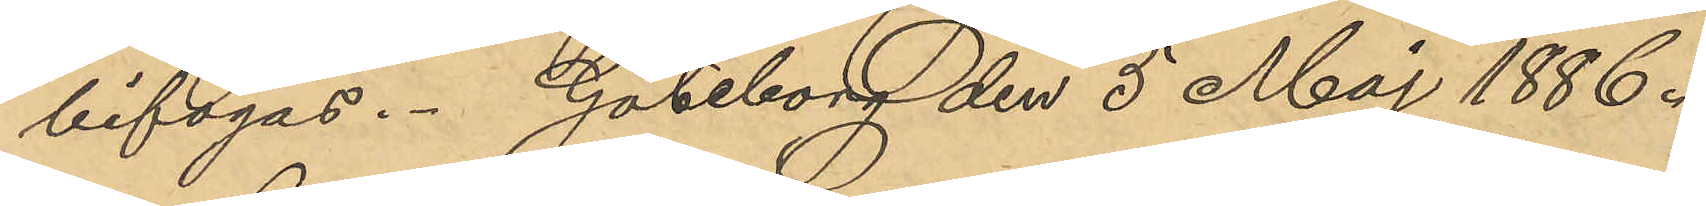bifogas. Göteborg den 5 Maj 1886.
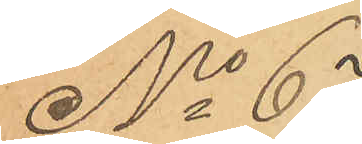No 67
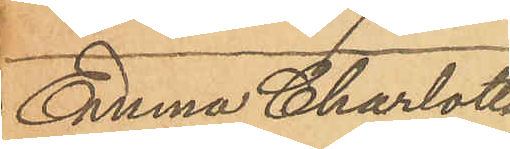Emma Charlotta
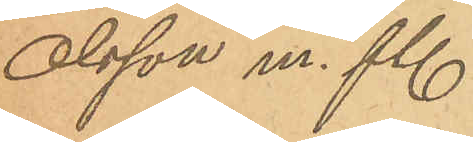Olsson m. fl.
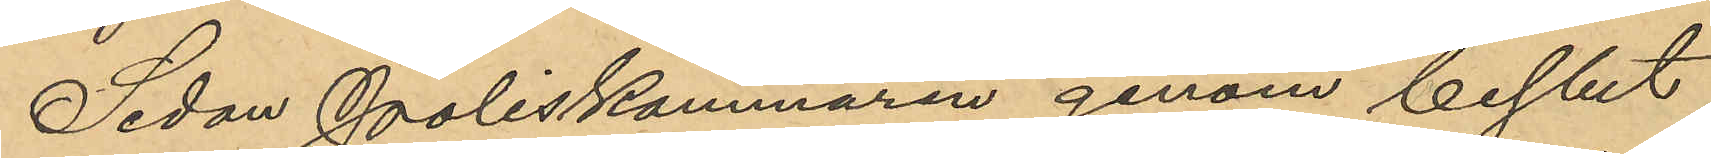Sedan Poliskammaren genom beslut
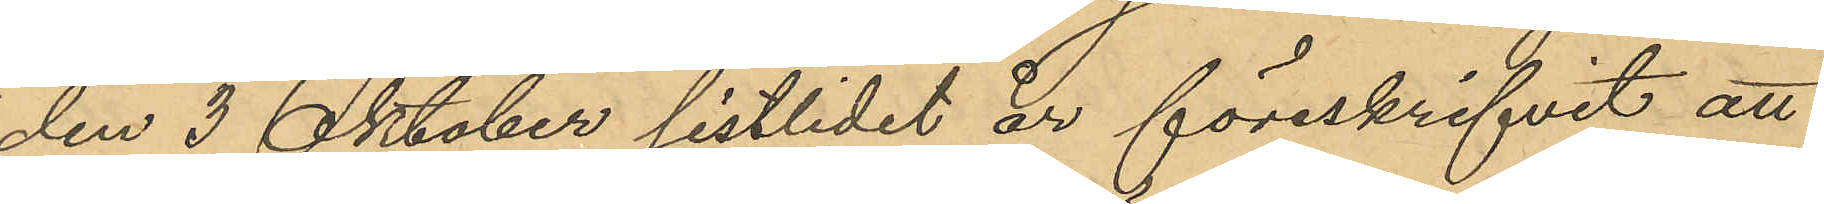den 3 Oktober sistlidet år föreskrifvit att
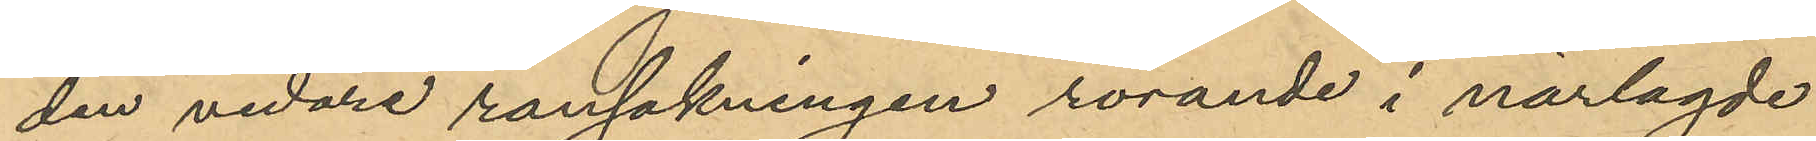den vidare ransakningen rörande i närlagde
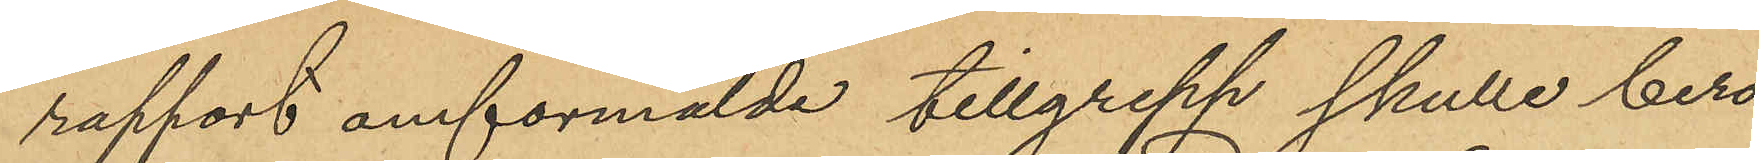rapport omförmälde tillgrepp skulle bero
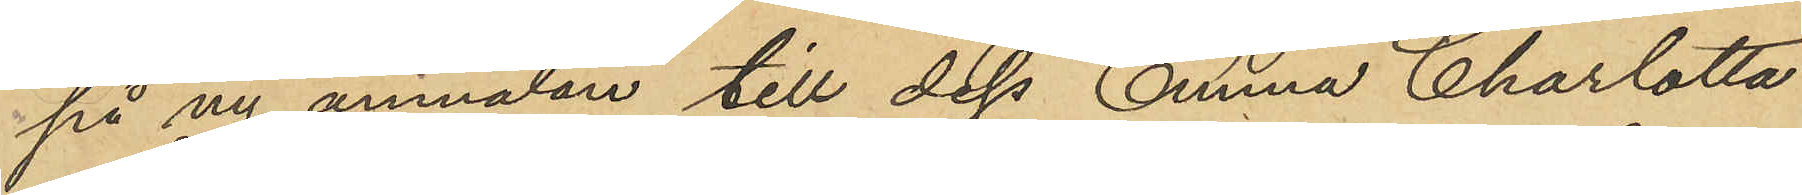på ny anmälan till dess Emma Charlotta
